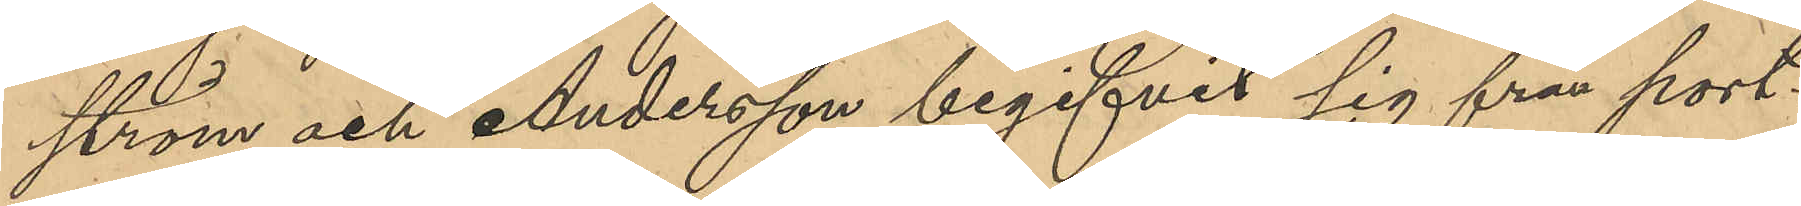ström och Andersson begifvit sig från port¬
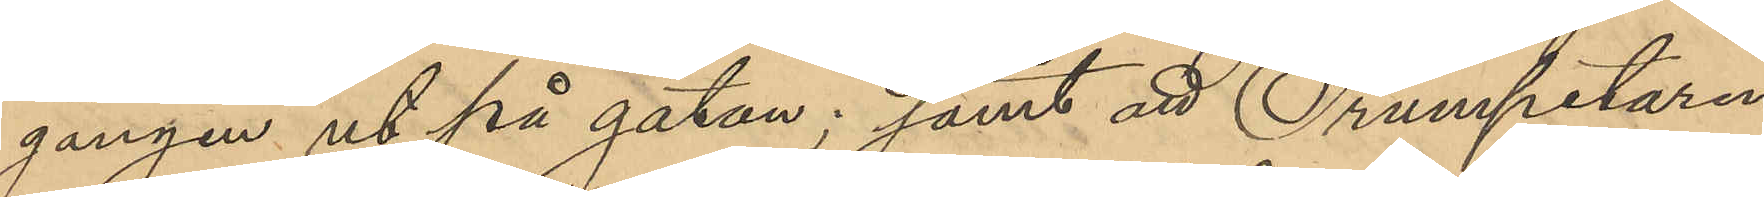gången ut på gatan; samt att Trumpetaren
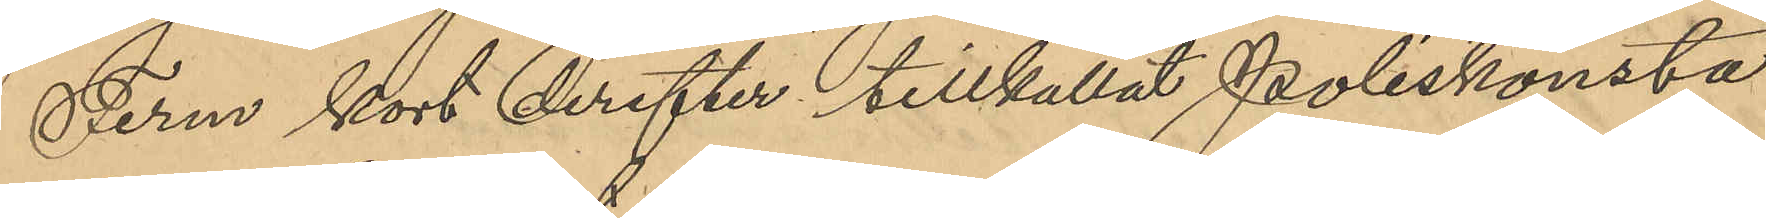Ferm kort derefter tillkallat Poliskonsta¬
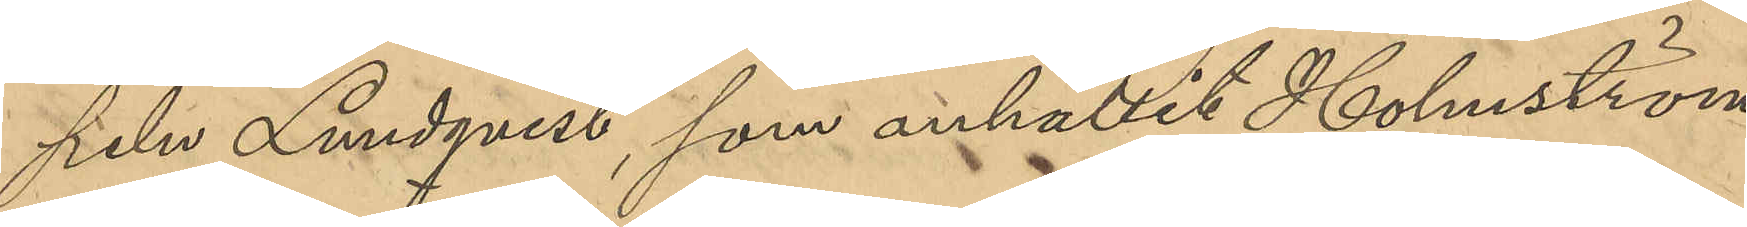peln Lundqvist, som anhållit Holmström
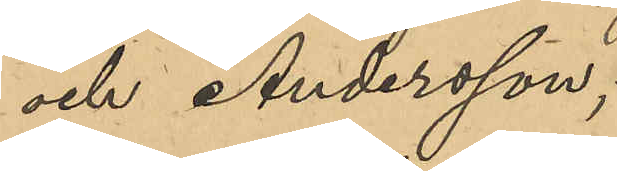och Andersson;
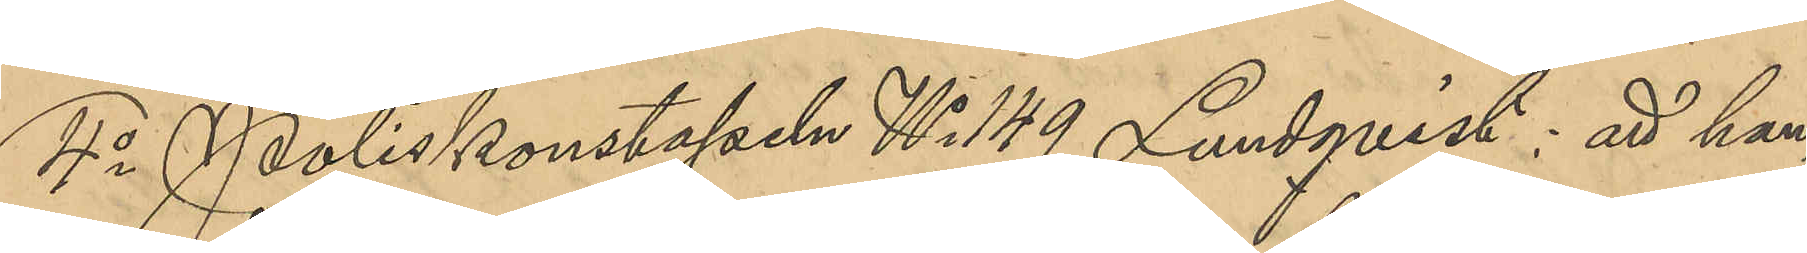4o Poliskonstapeln No 149 Lundqvist: att han,
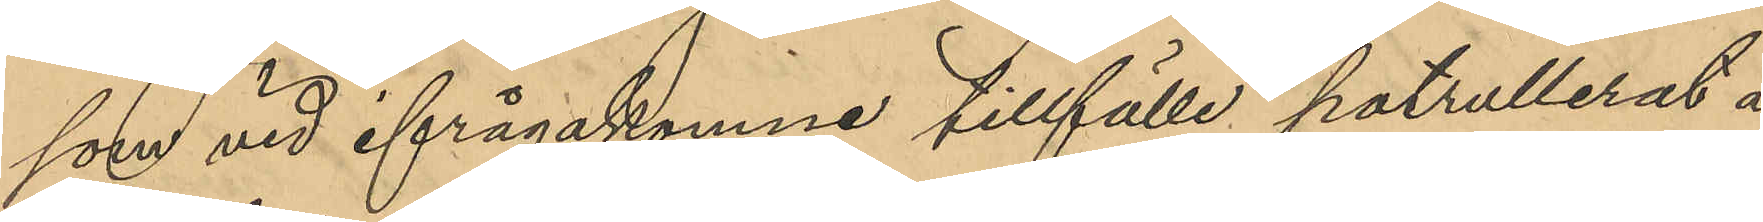som vid ifrågakomne tillfälle patrullerat å
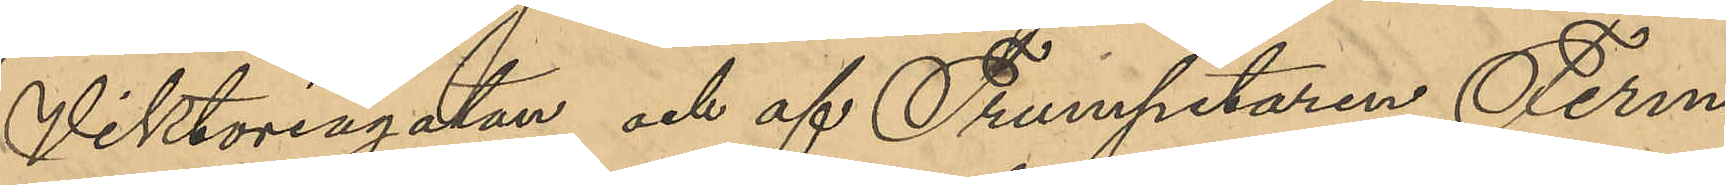Viktoriagatan och af Trumpetaren Ferm
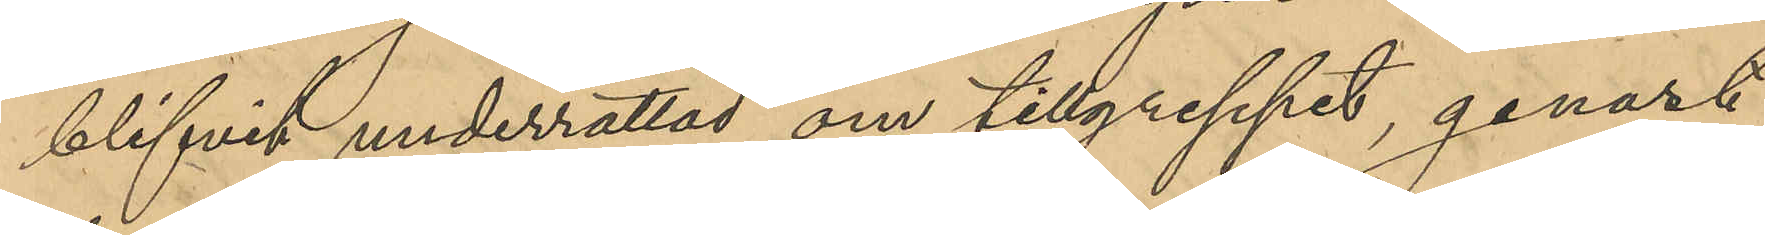blifvit underrättad om tillgreppet, genast
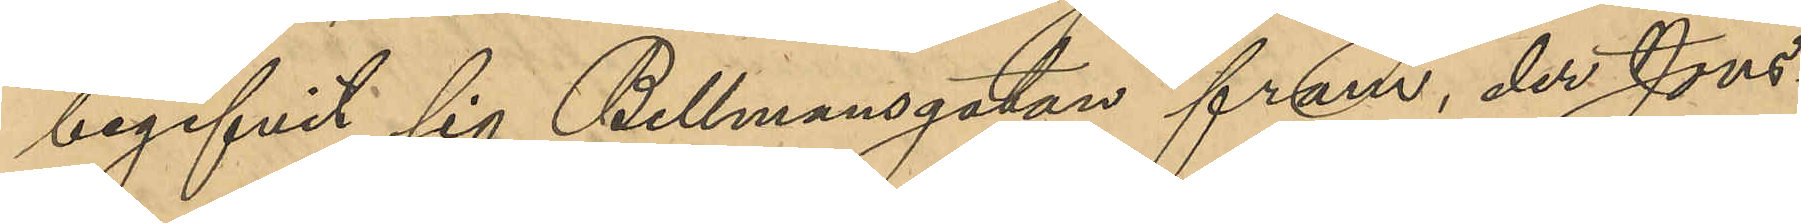begifvit sig Bellmansgatan fram, der Jons¬
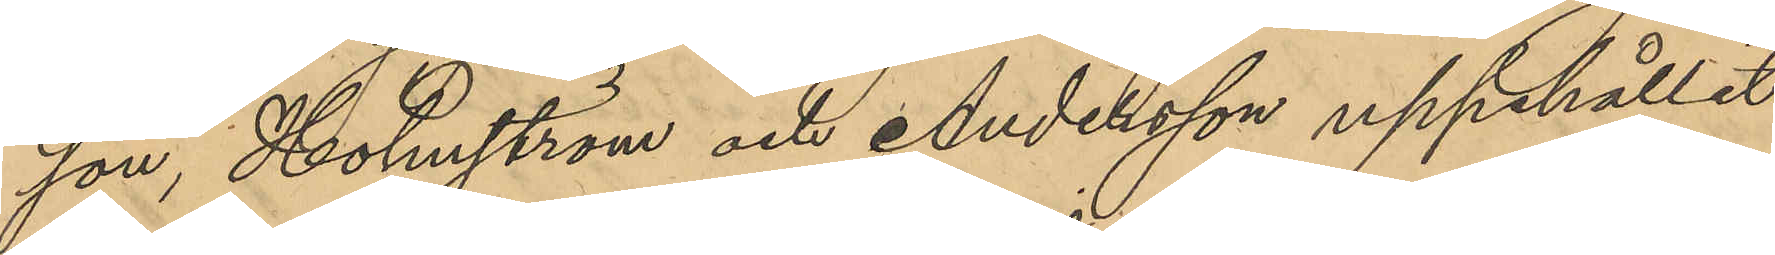son, Holmström och Andersson uppehållit
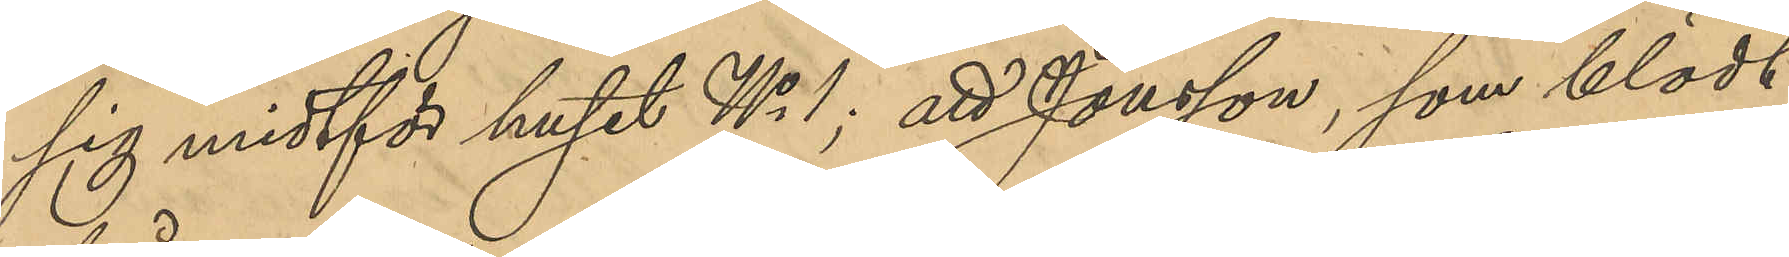sig midtför huset No 1; att Jonsson, som blödt
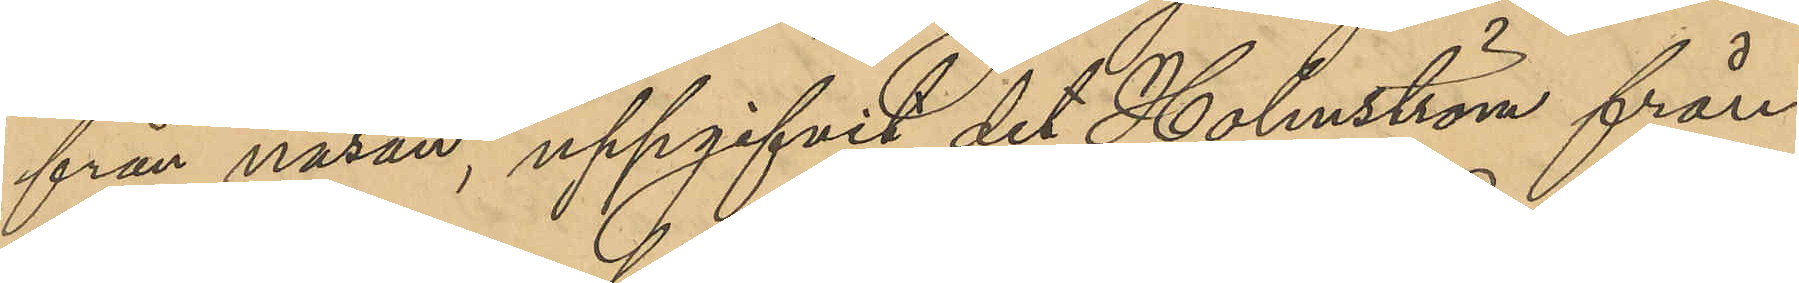från näsan, uppgifvit det Holmström från¬
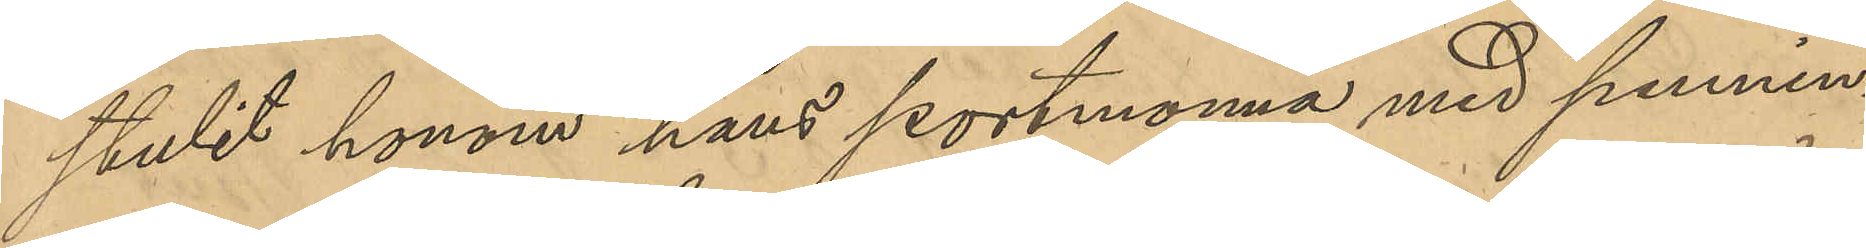stulit honom hans portmonnä med pennin¬
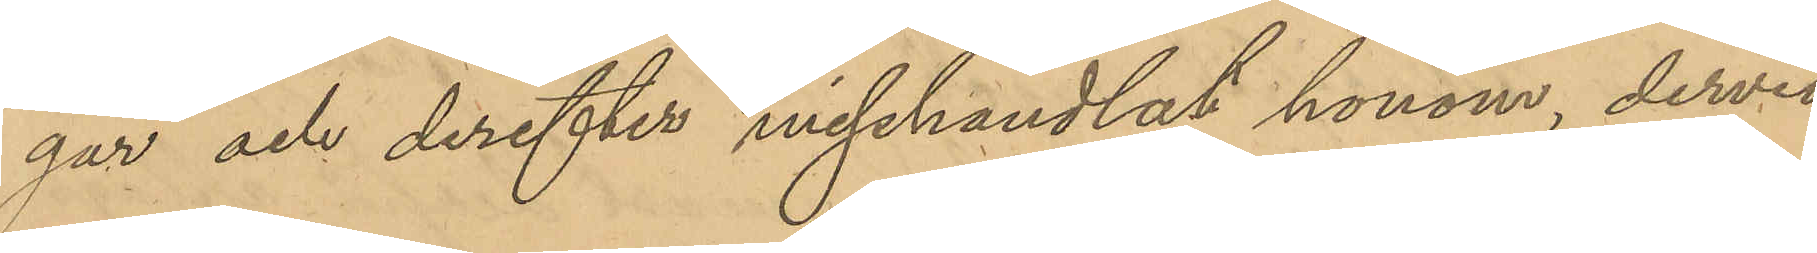gar och derefter misshandlat honom, dervid
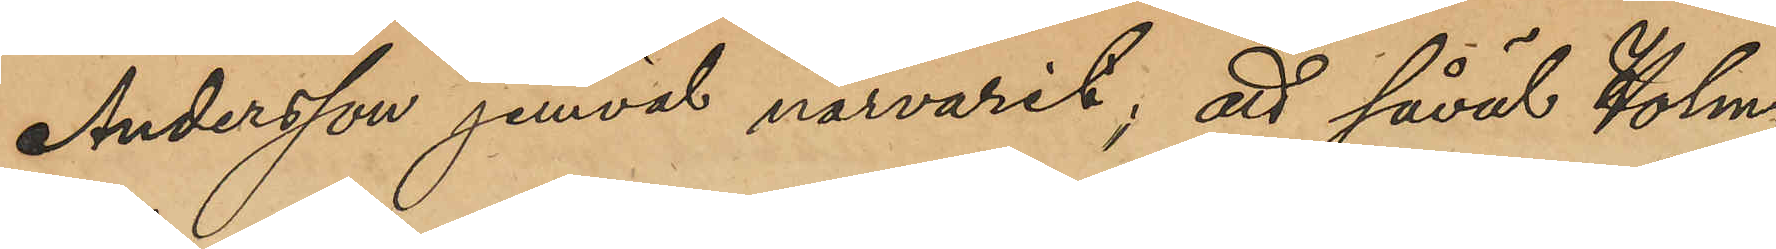Andersson jemväl närvarat; att såväl Holm¬
